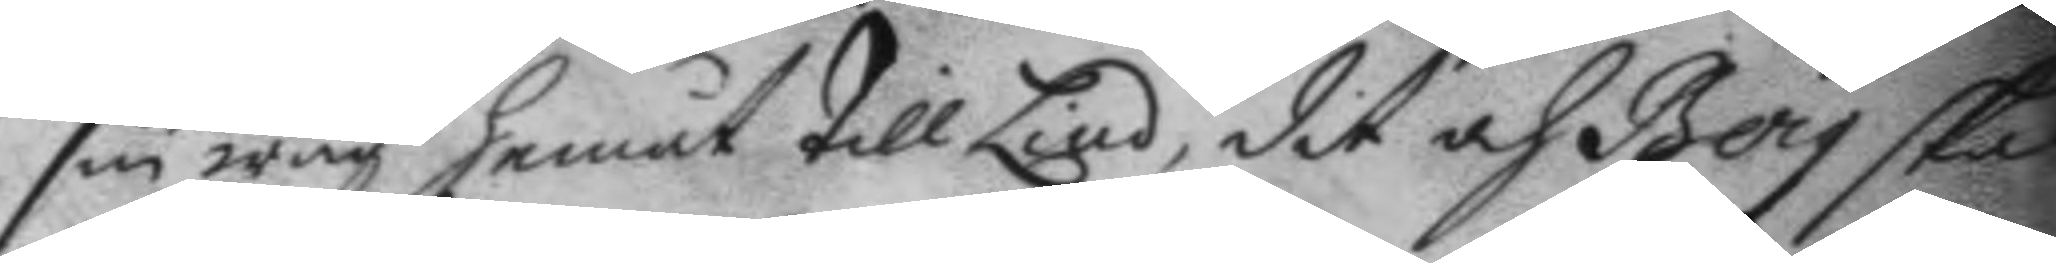sin wäg hemåt till Lind, dit och Berg skal
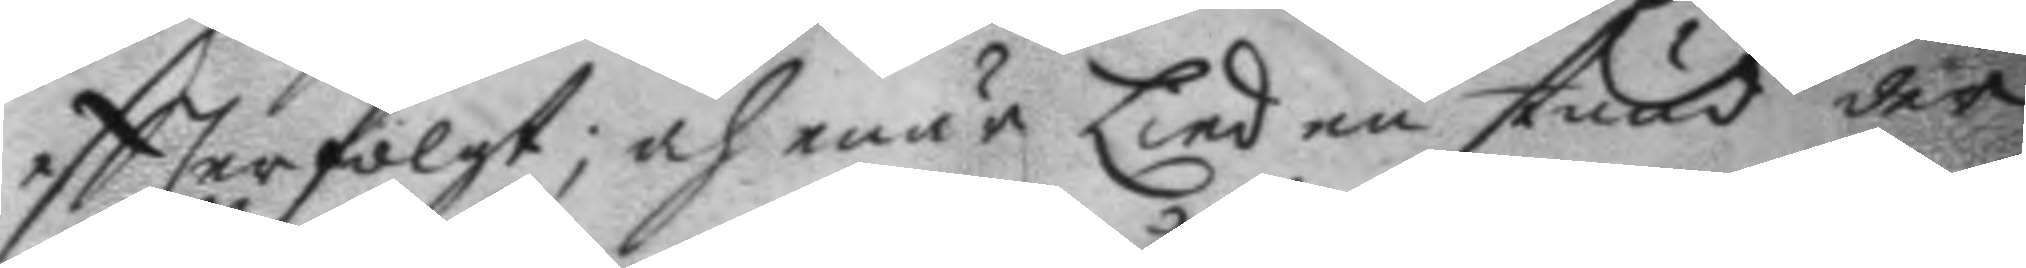eftterfölgt; och enär Lind en stund der
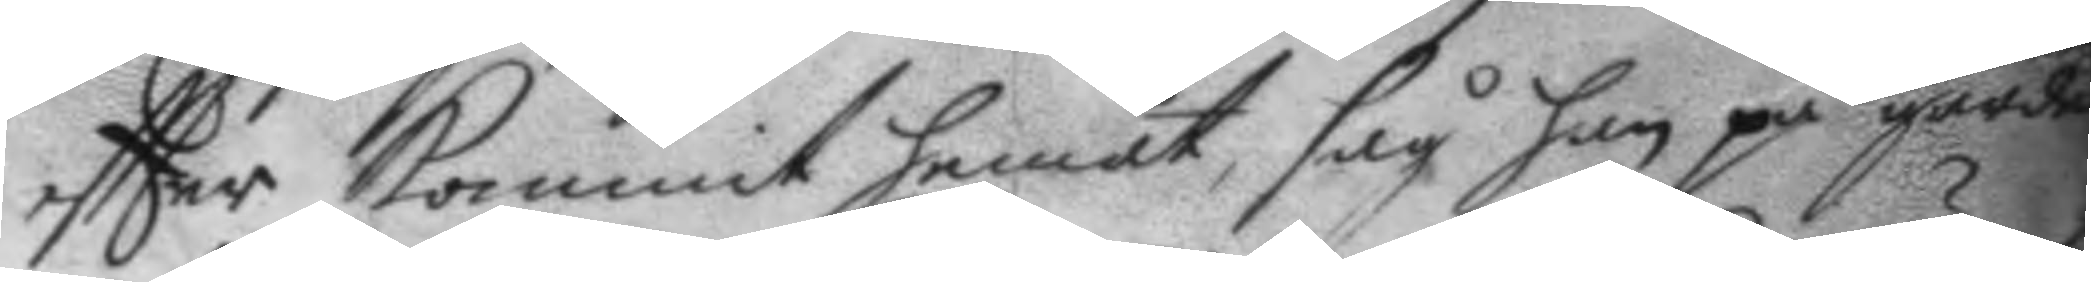eftter kommit hemåt, såg han på gården
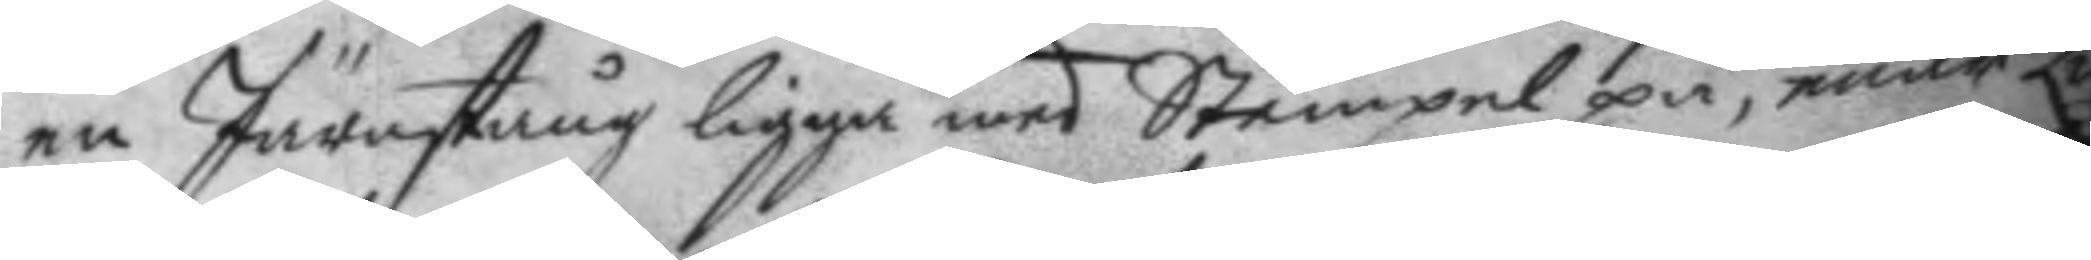en Järnstång ligga med Stämpel på, enär L
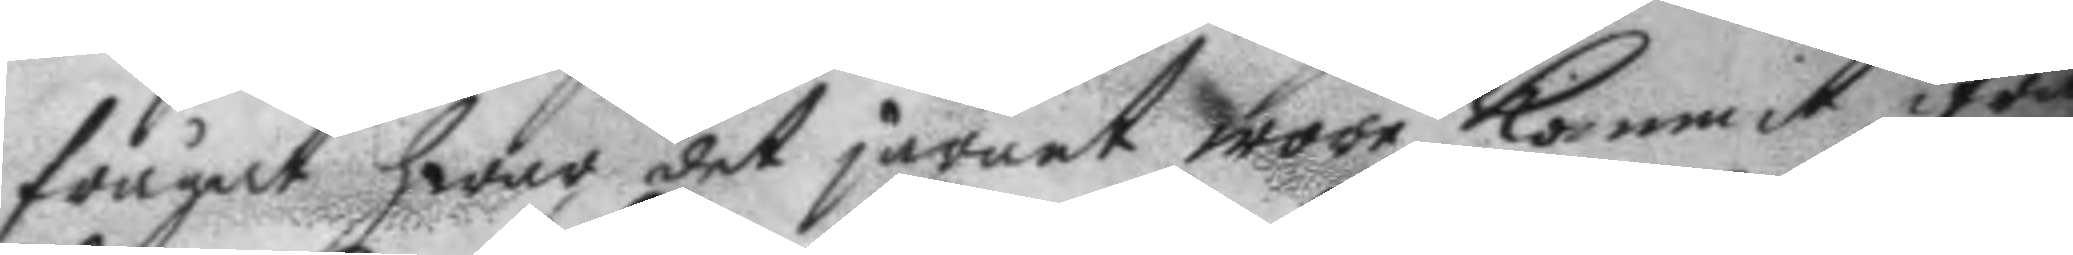frågat hwar det järnet wore kommit ifrån
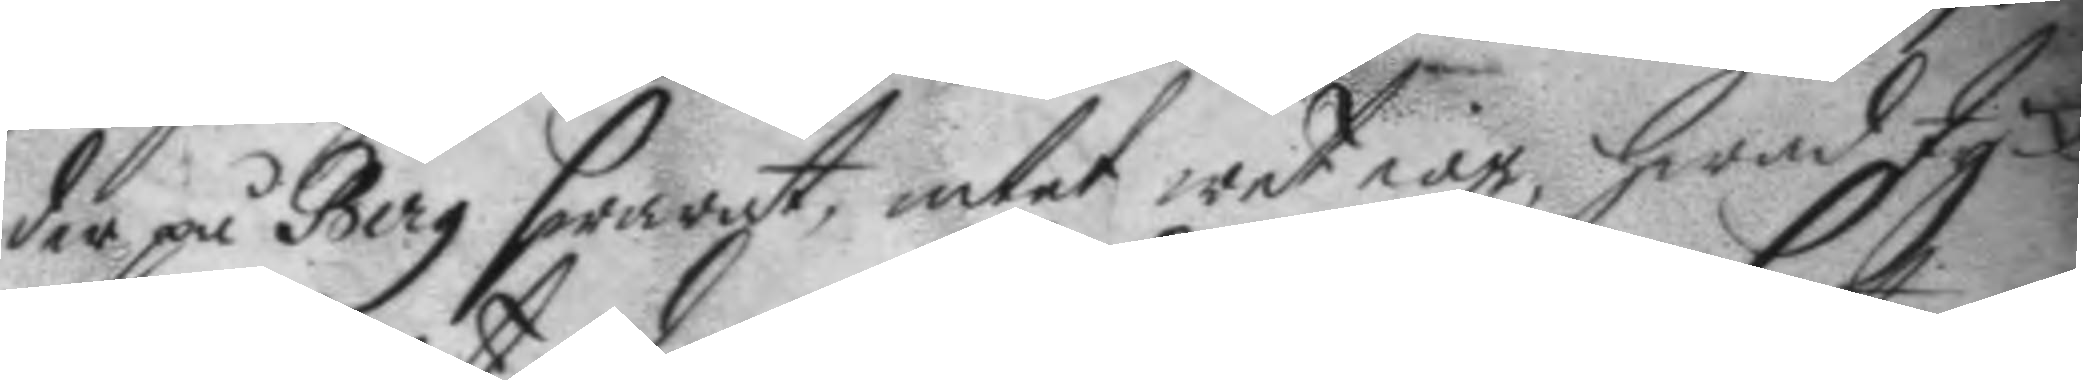der på Berg swarat, intet wet iag, hwad t
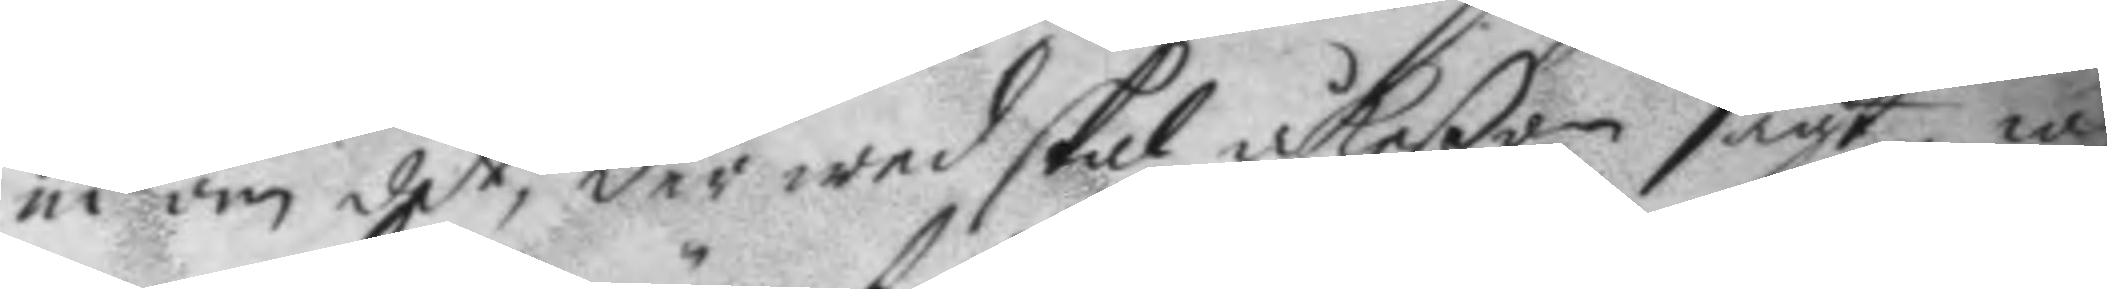ni om det, der wed skal åkeßon sagt, iag
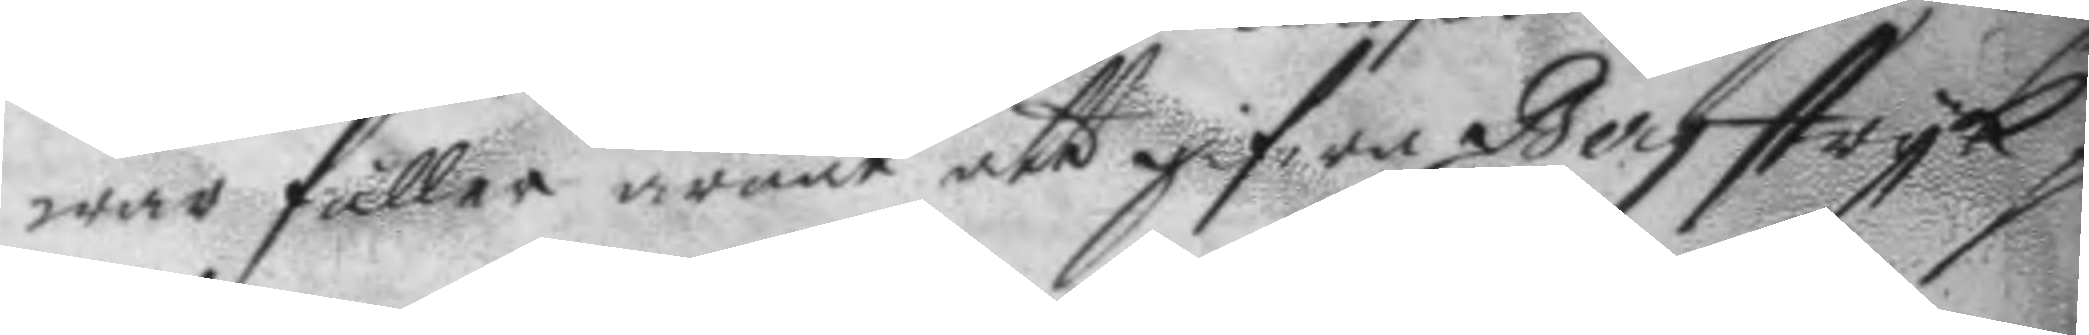war fuller ärnat att gifwa Berg stryk på
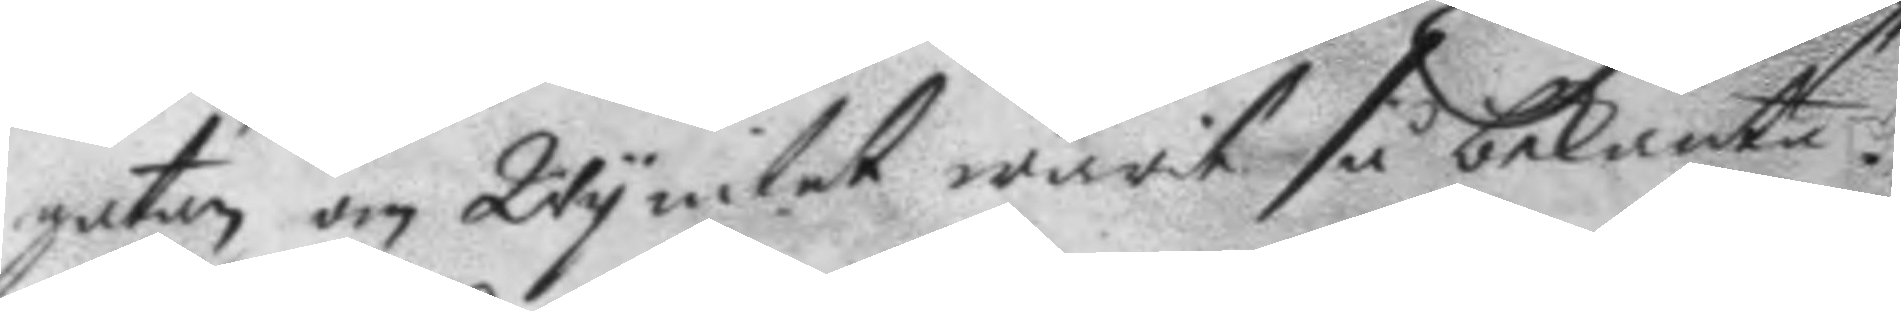gatan om Wy intet warit så bekanta.
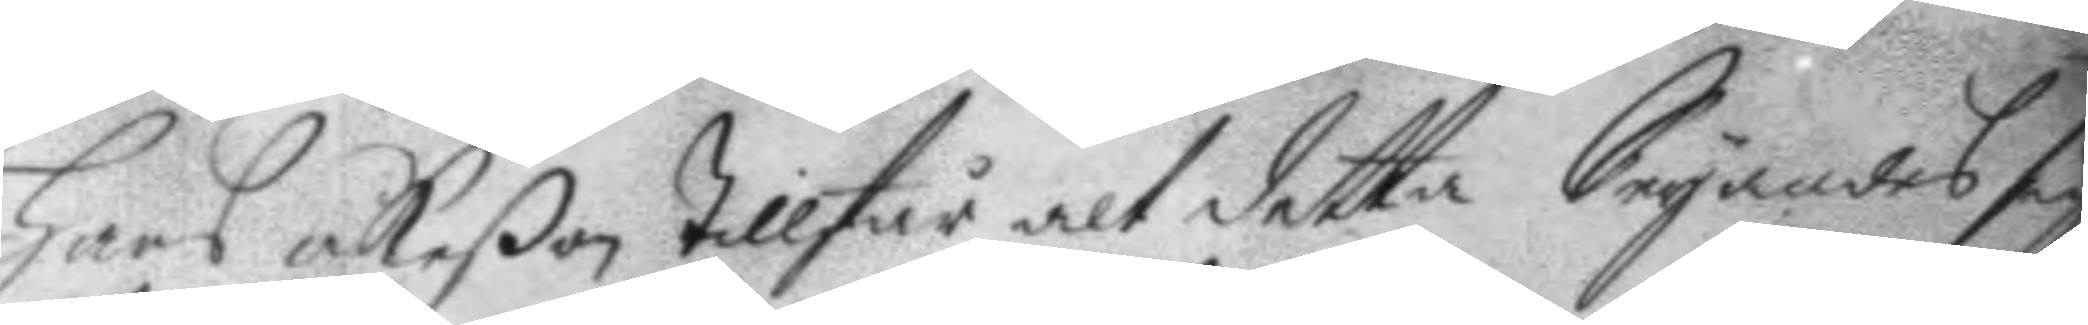Hans åkeßon tillstår alt detta Seyandes sig
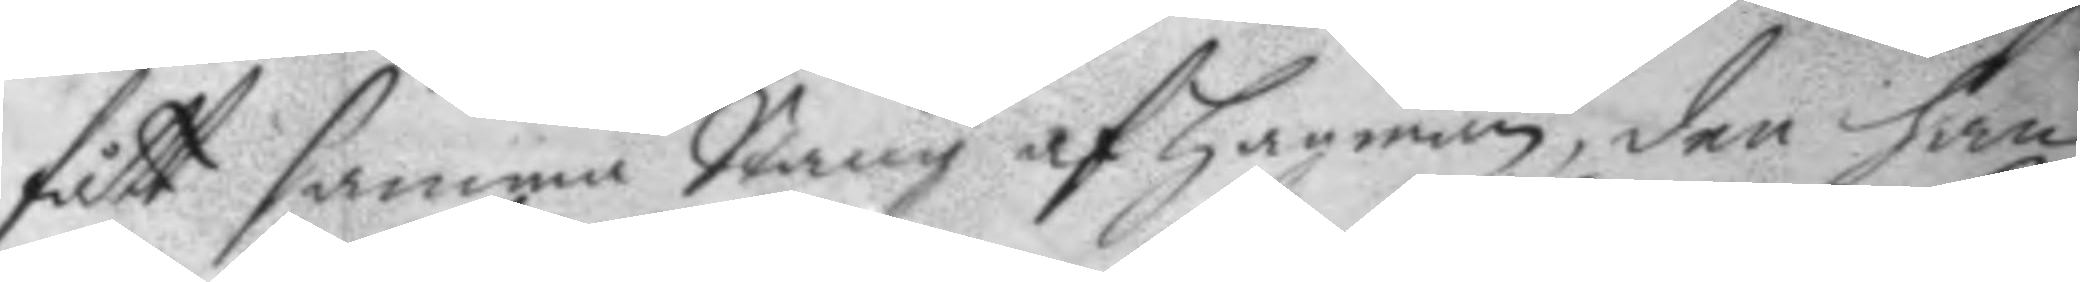fått samma Stång af Hagman, den han
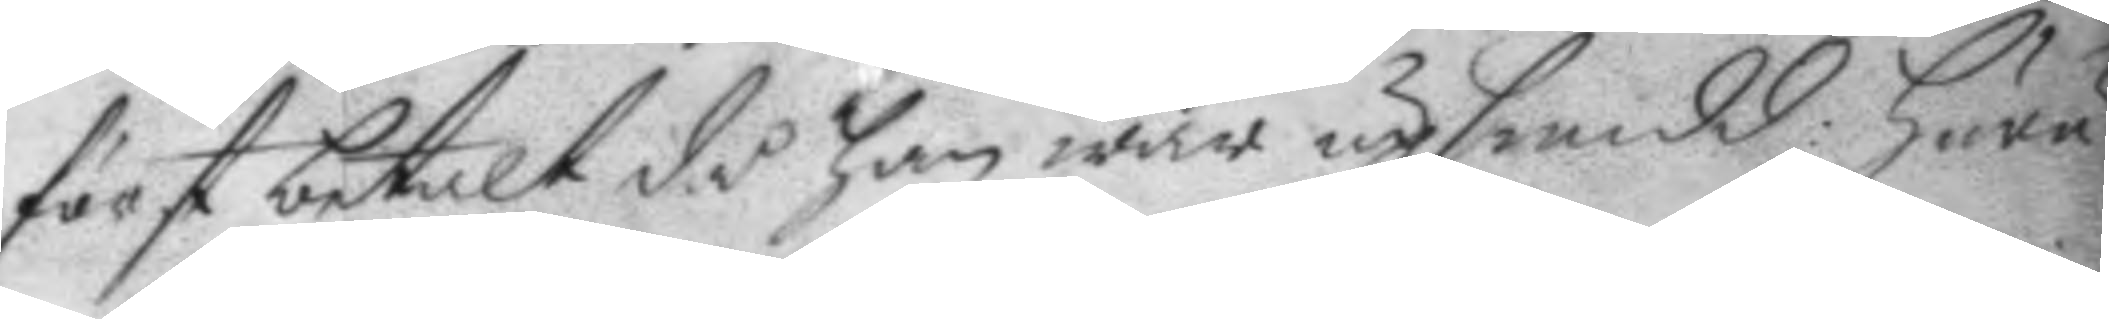först betalt då han war upsmidd: huru
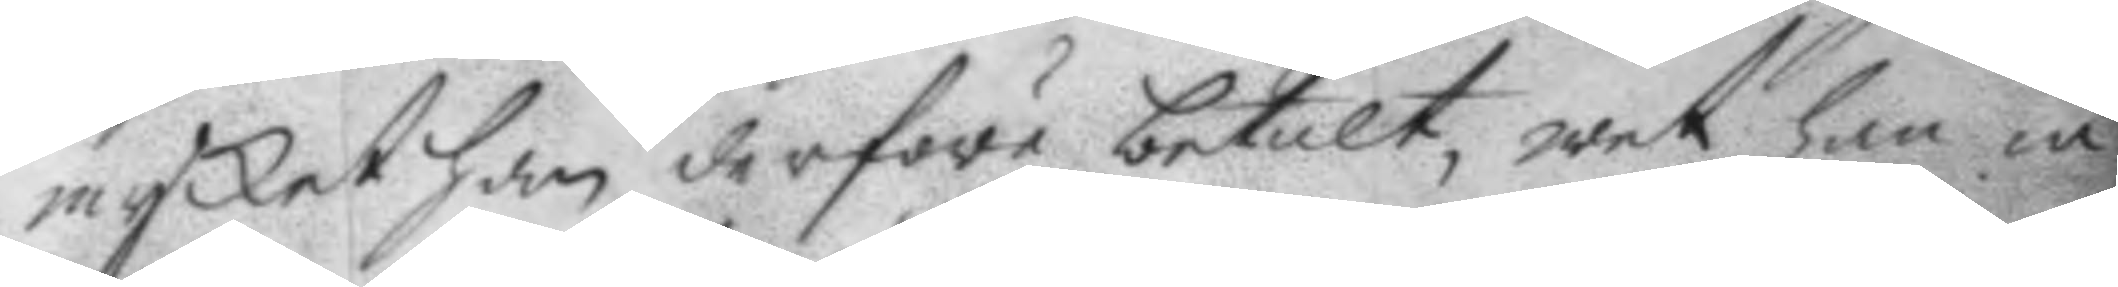mycket han derföre betalt, wet han in¬
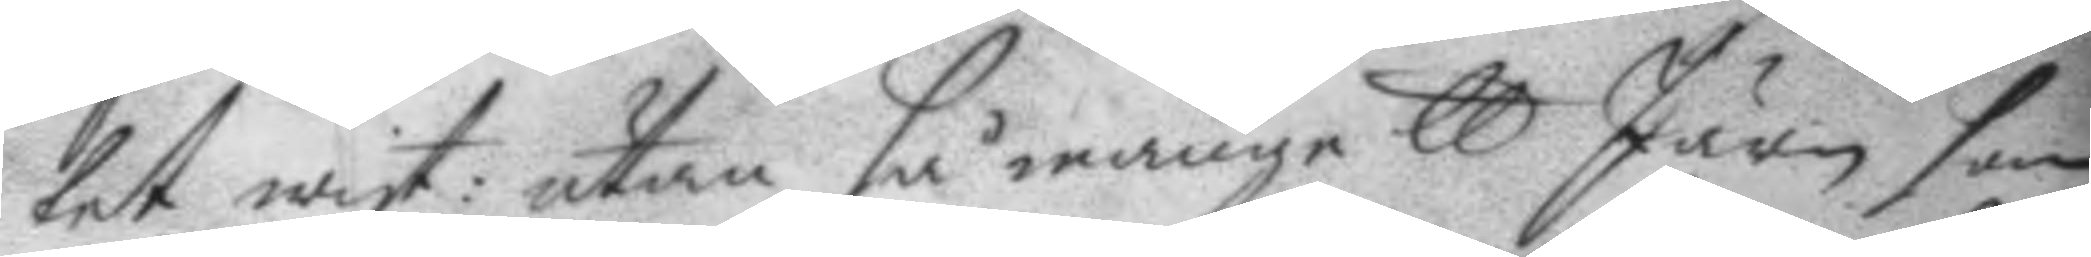tet wist: utan så många ll Järn som
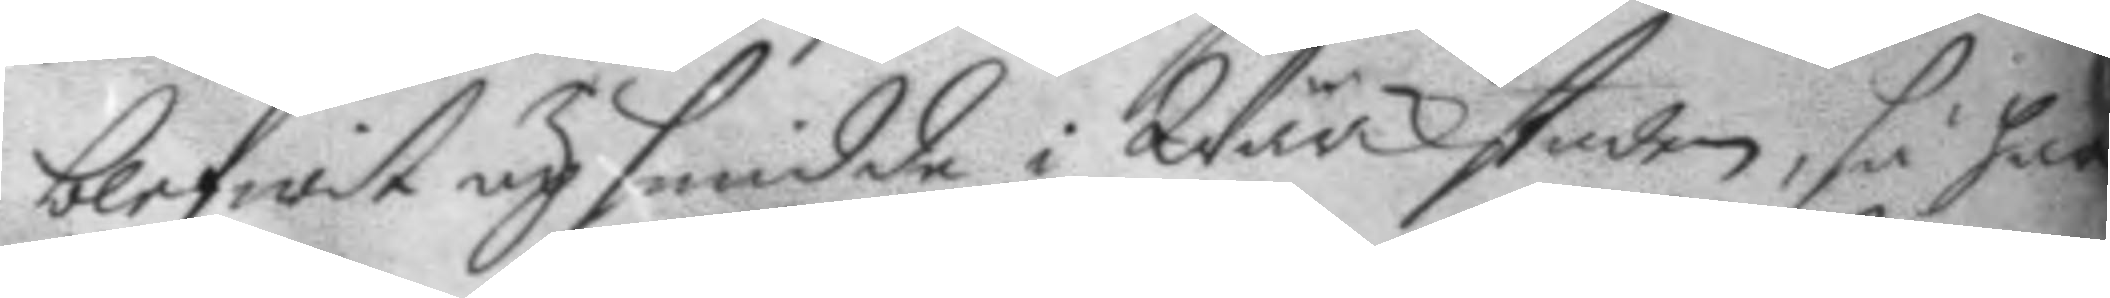blifwit upsmidde i Wärckstaden, så han
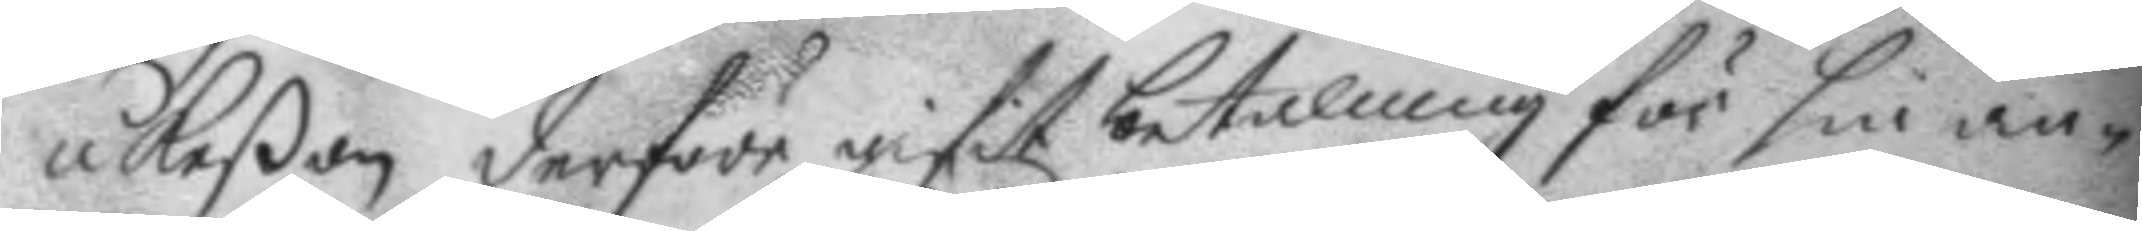åkeßon derföre gifit betalning för sin an¬
